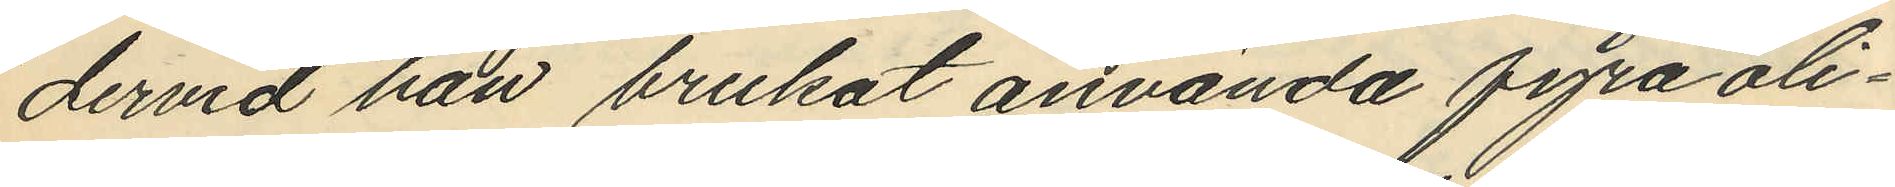dervid han brukat använda fyra oli¬
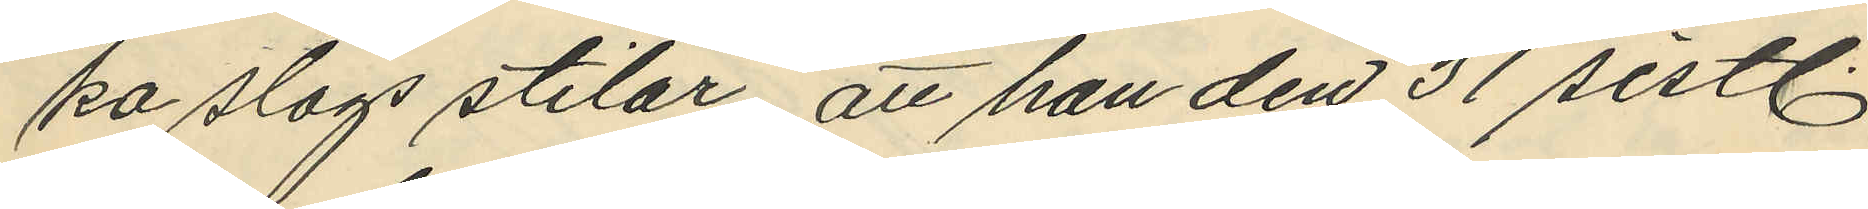pa slags stilar, att han den 31 sistl.
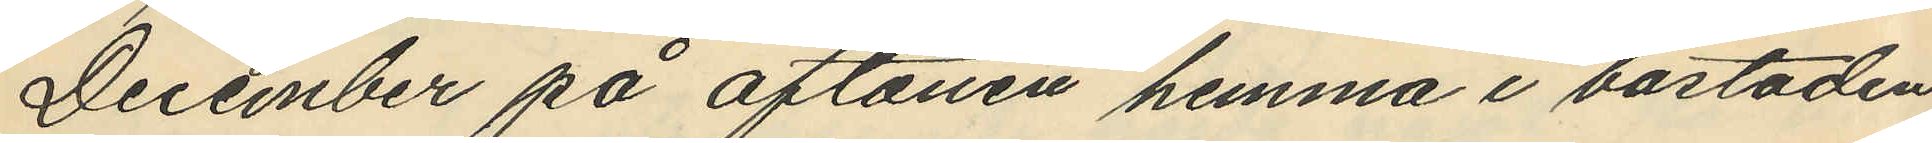December på aftonen hemma i bostaden
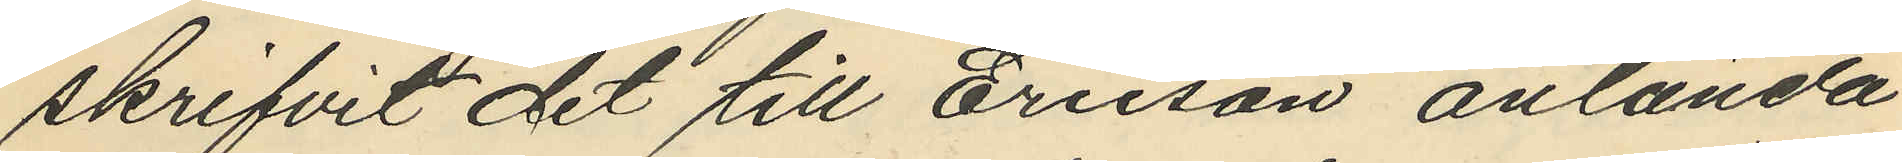skrifvit det till Ericson anlända
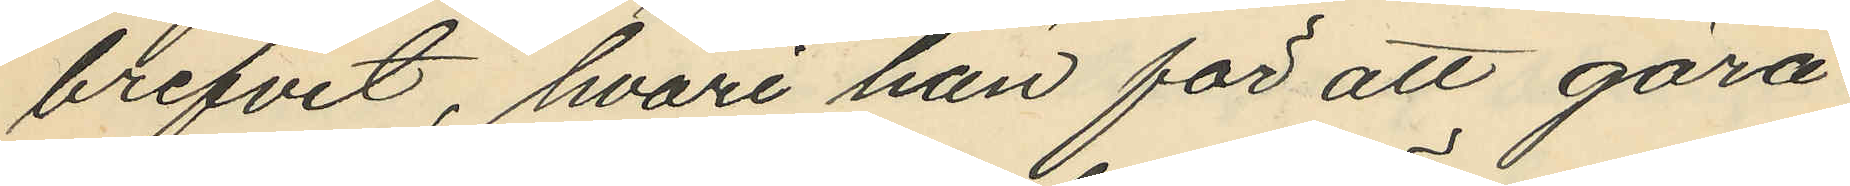brefvet, hvari han för att göra
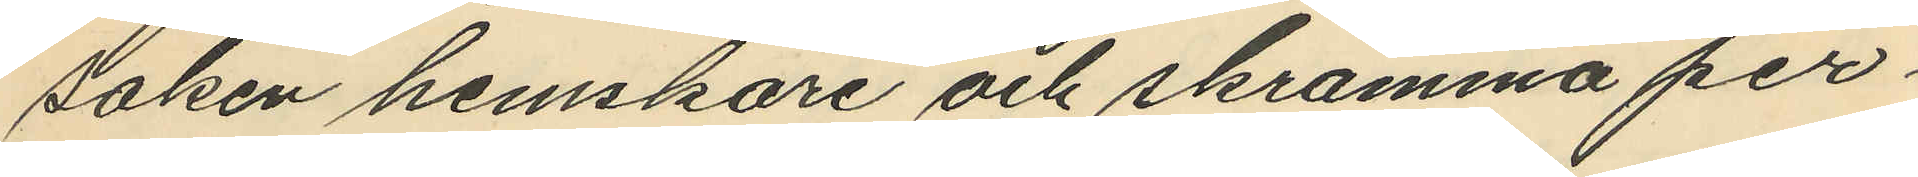saken hemskare och skrämma per¬
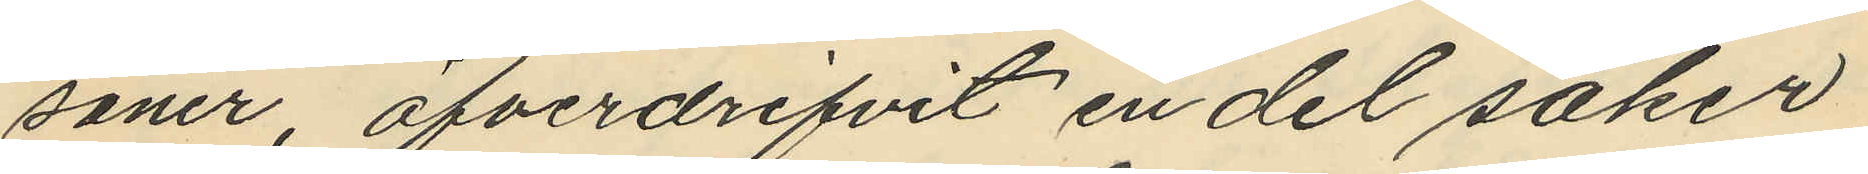soner öfverdrifvit en del saker
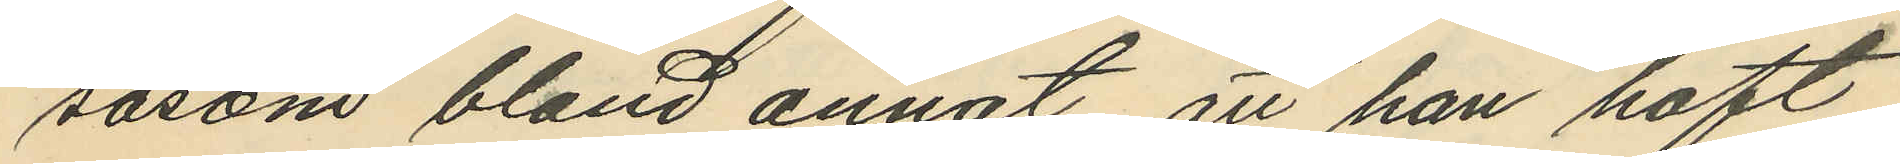sasom bland annat att han haft
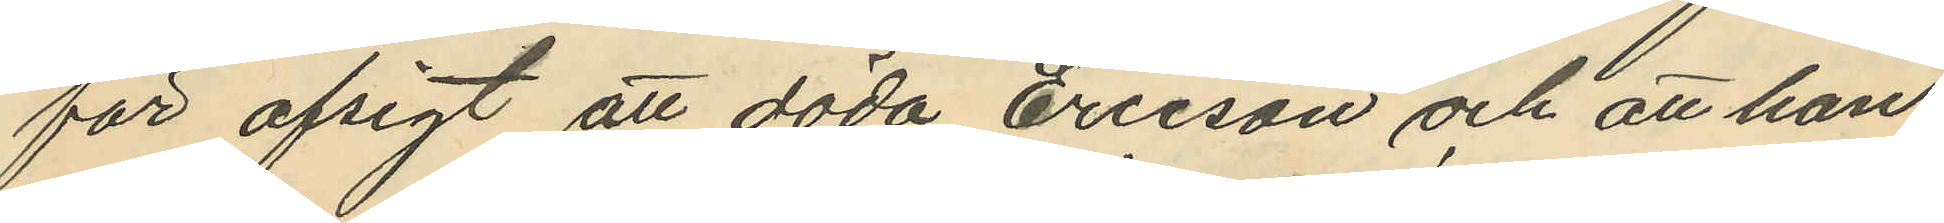för afsigt att döda Ericson och att han
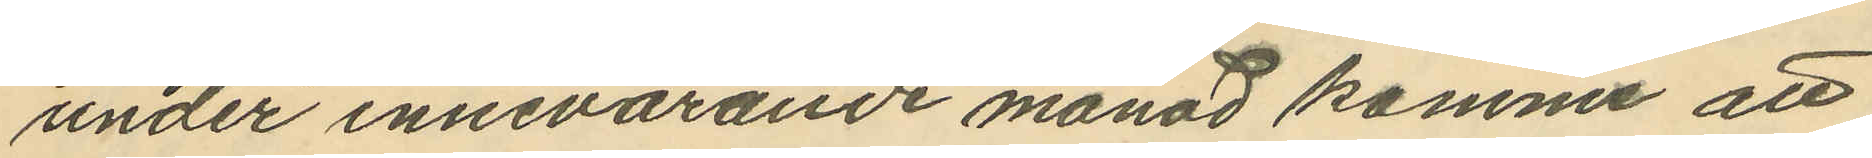under innevarande månad komme att
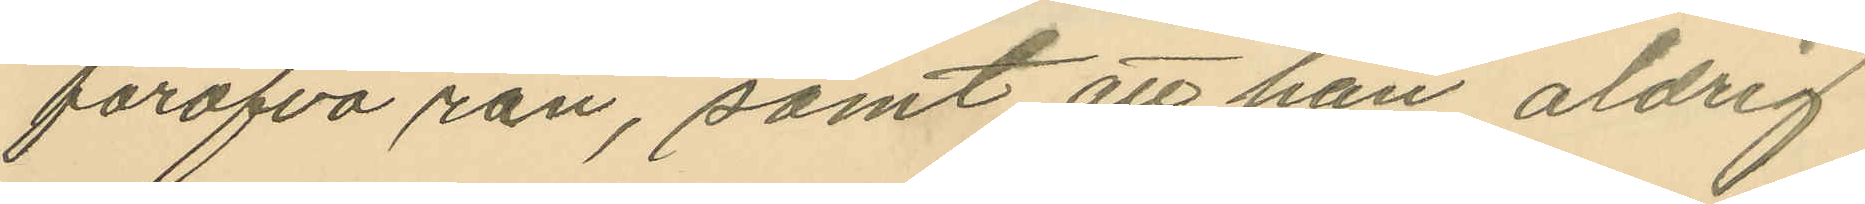föröfva rån, samt att han aldrig
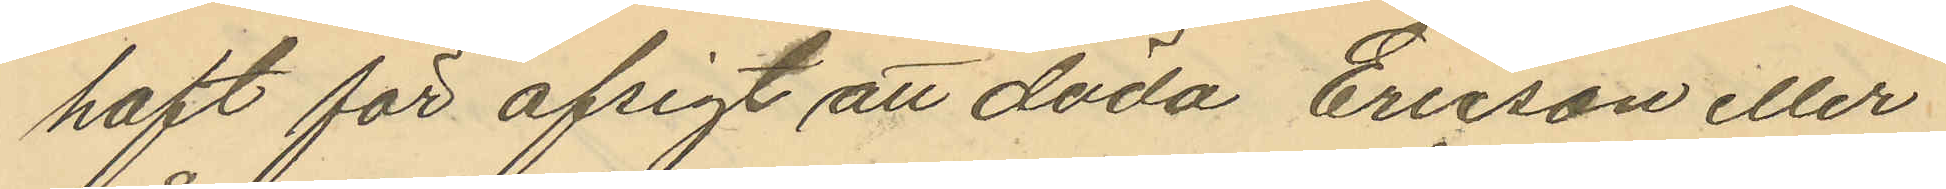haft för afsigt att döda Ericson eller
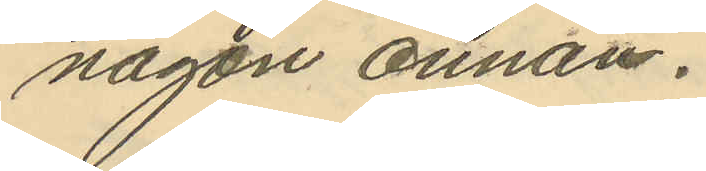någon annan.
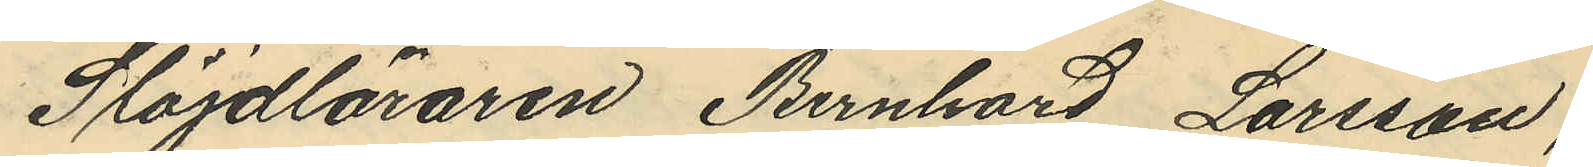Slöjdläraren Bernhard Larsson,
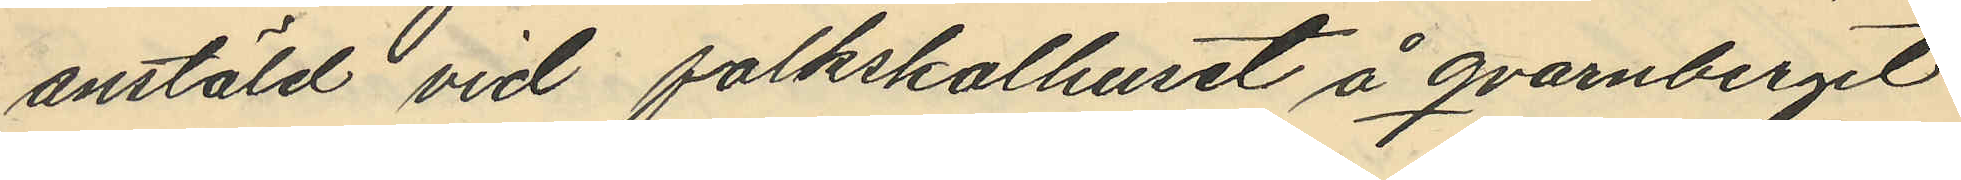anstäld vid folkskolhuset å qvarnberget
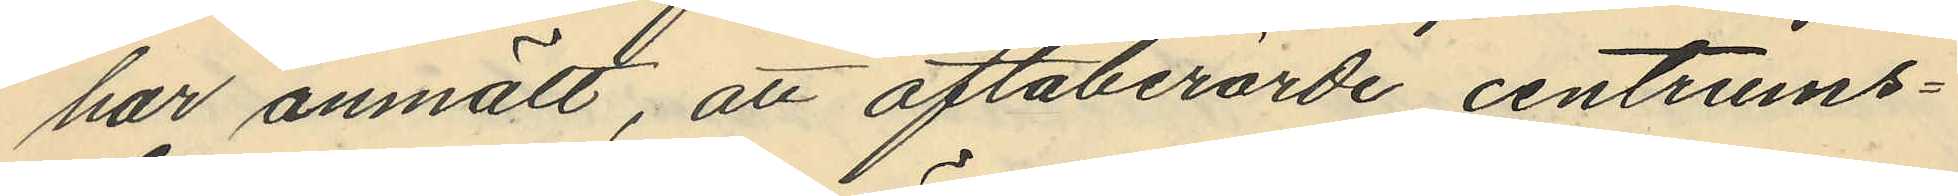har anmält, att oftaberörde centrums¬
